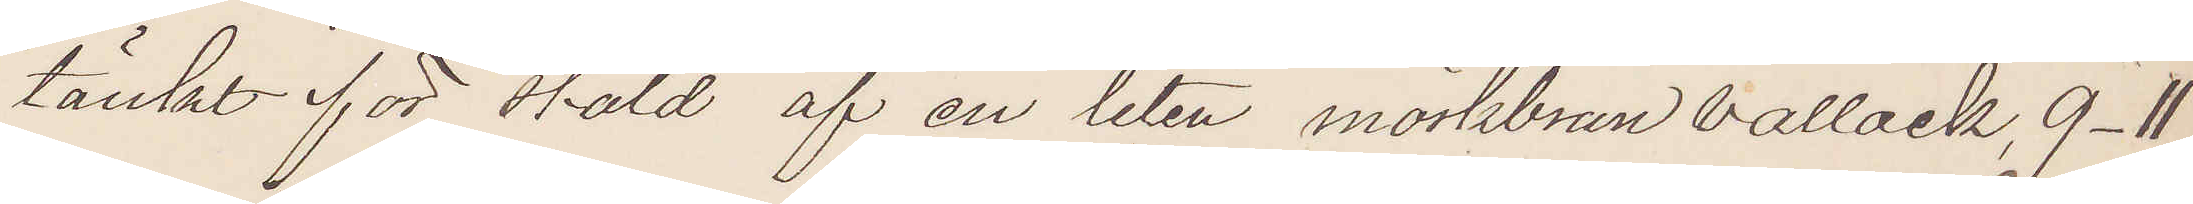tänkt för stöld af en liten mörkbrun vallack, 9-11
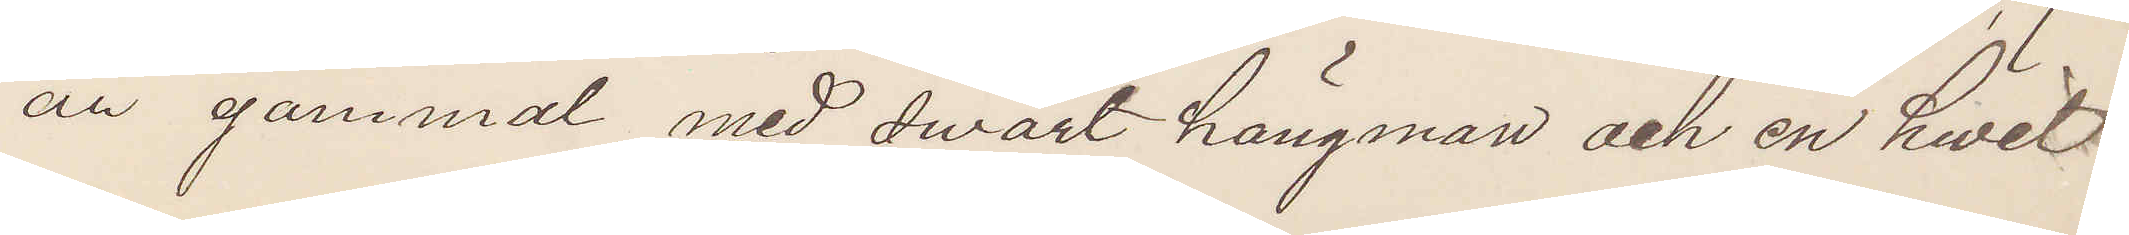år gammal med svart hängman och en hwit
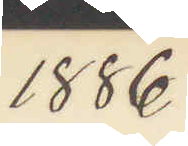1886
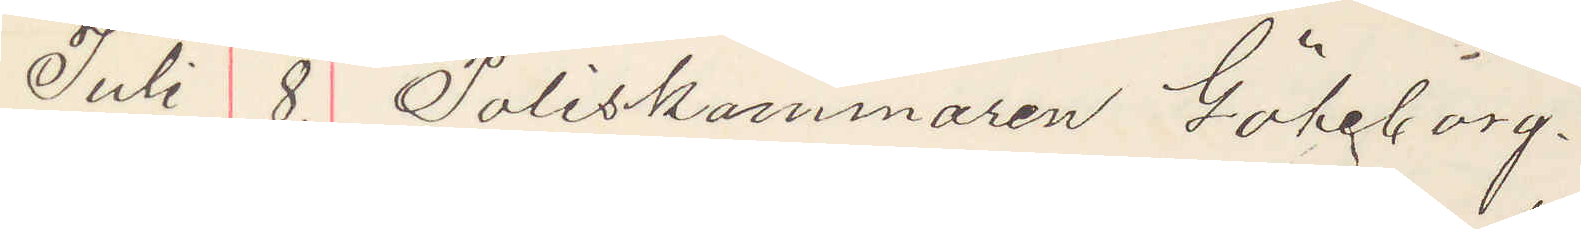Juli 8. Poliskammaren Göteborg.
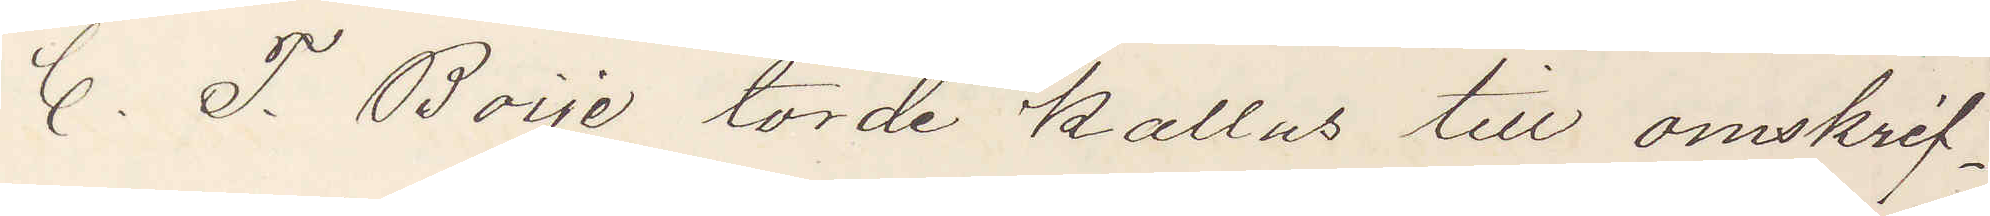C. T. Boije torde kallas till omskrif¬
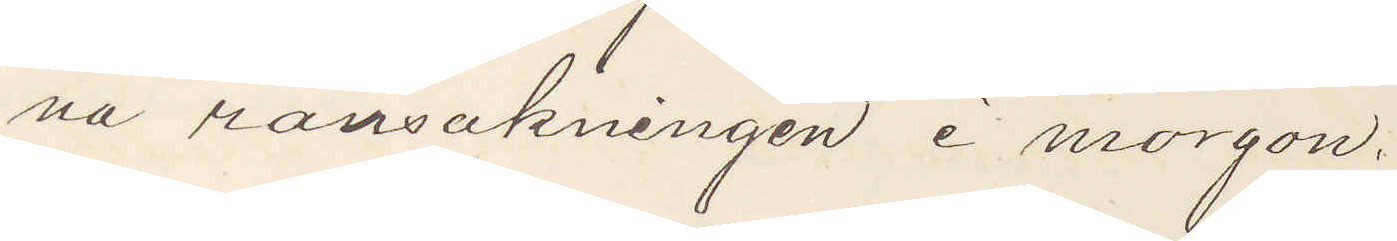na ransakningen i morgon.
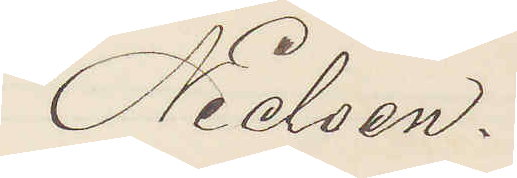Nielsen.
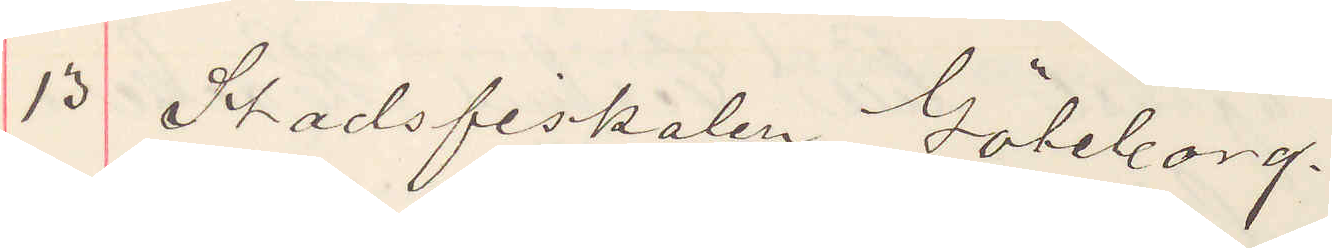13 Stadsfiskalen Göteborg.
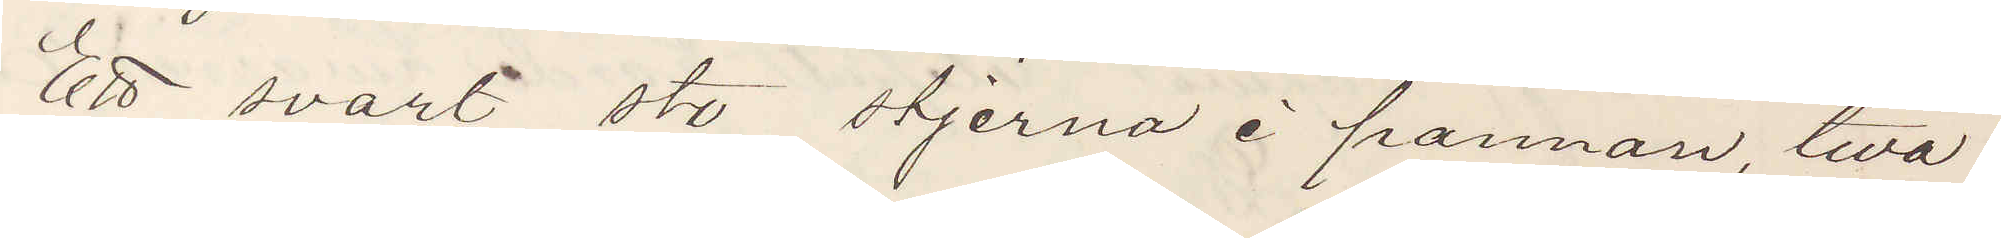Ett svart sto stjerna i pannan, två
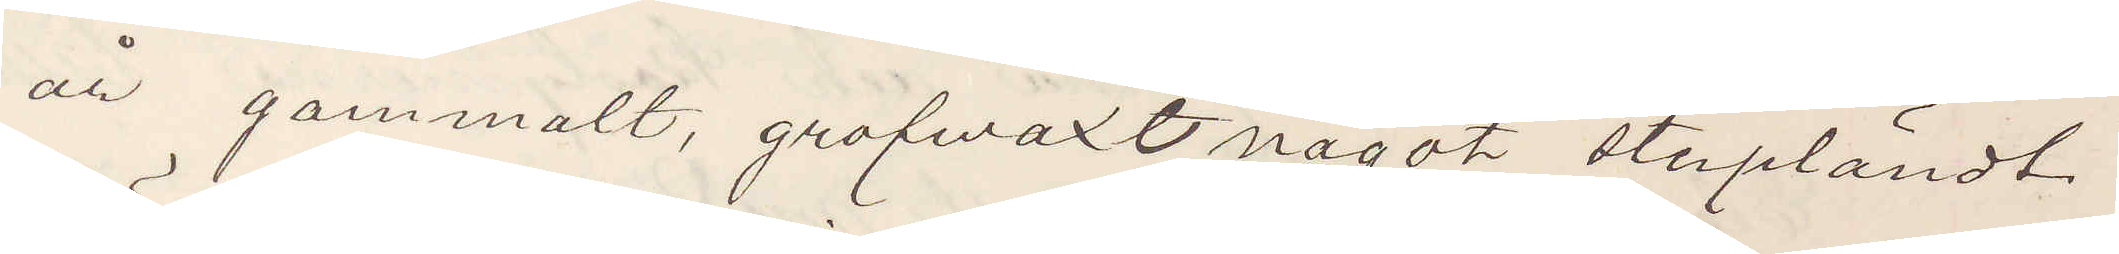år gammalt, grofwäxt något stupländt
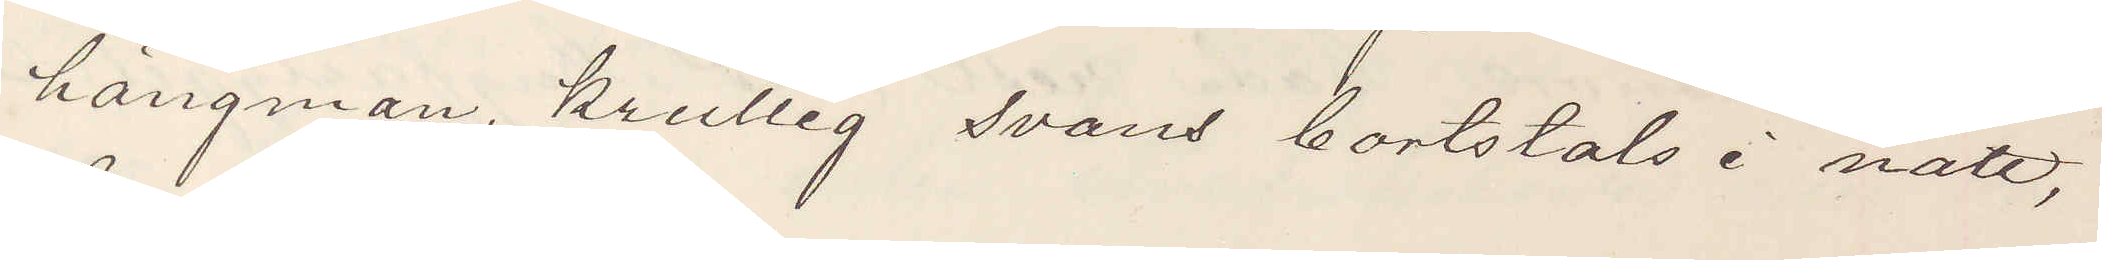hängman, krullig svans bortstals i natt,
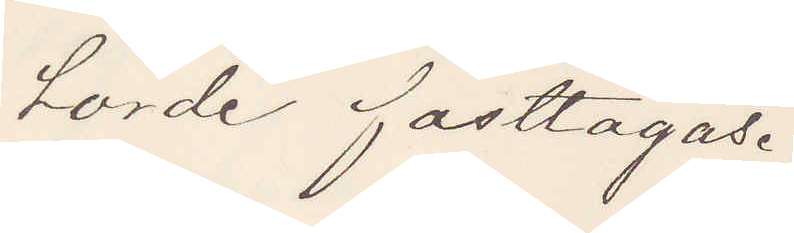torde fasttagas.
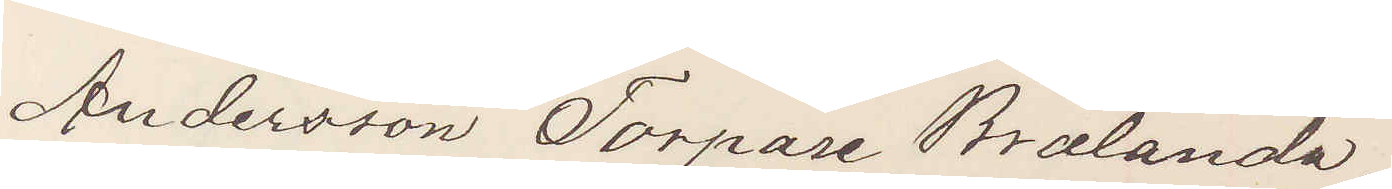Andersson Torpare Brålanda.
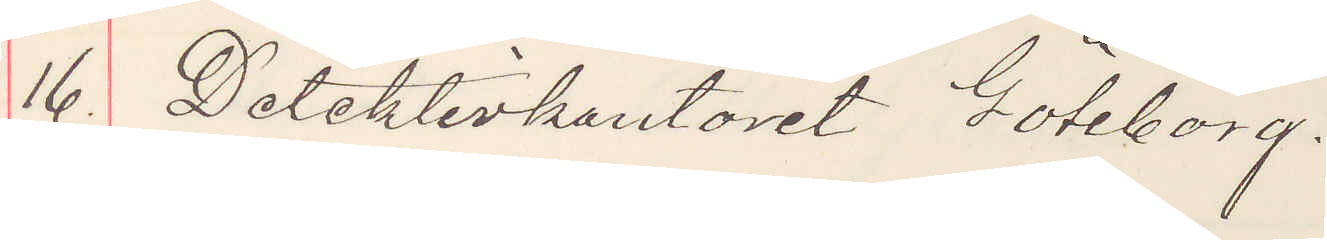16. Detektivkontoret Göteborg.
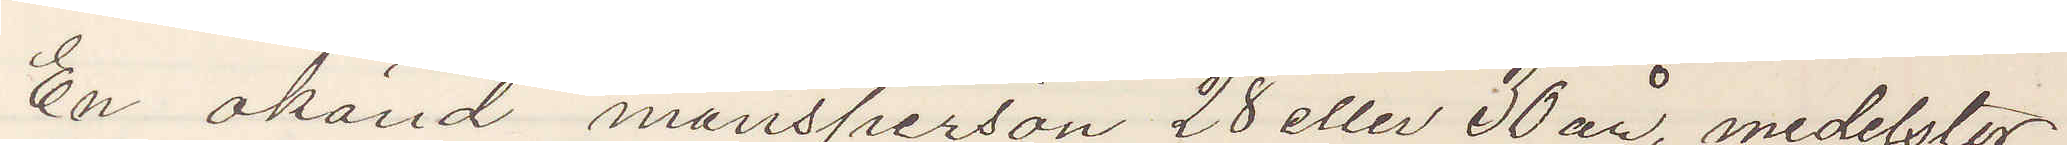En okänd mansperson 28 eller 30 år, medelstor
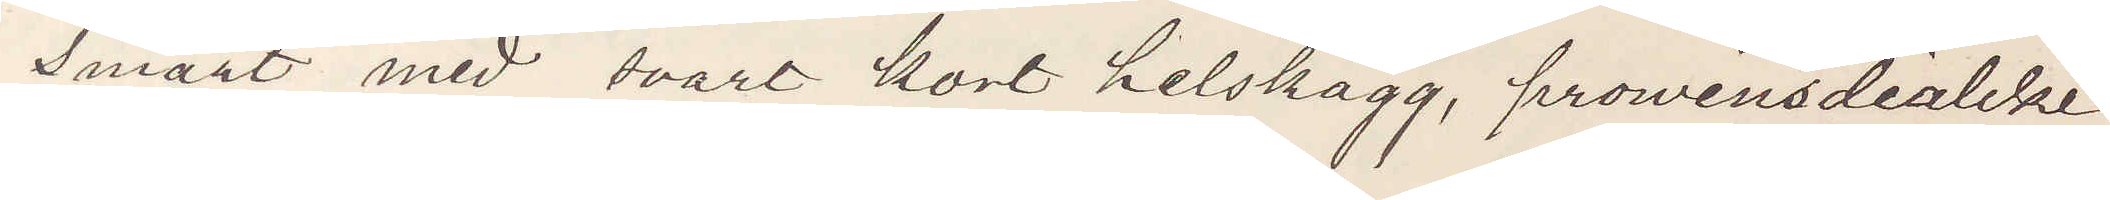smärt med svart kort helskägg, provinsdialekt,
